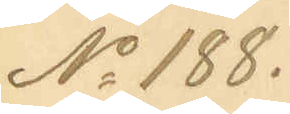No 188.
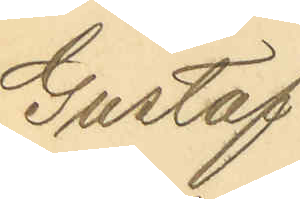Gustaf
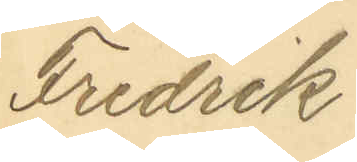Fredrik
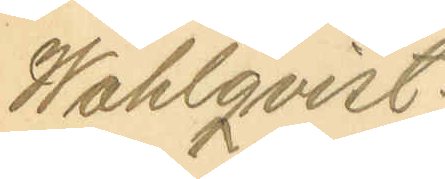Wahlqvist.
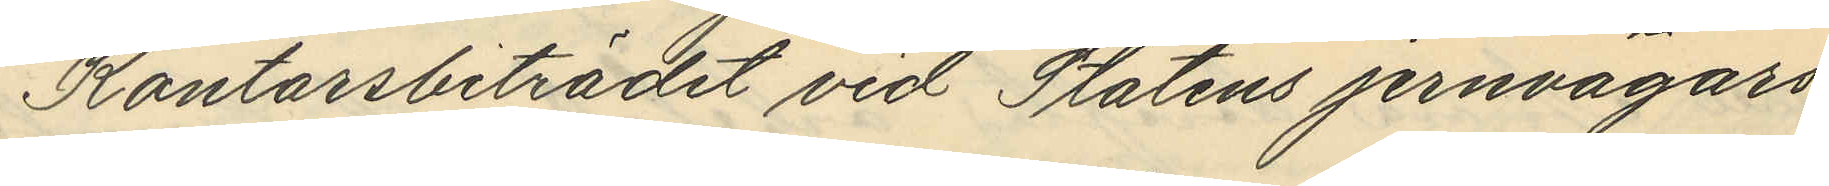Kontorsbiträdet vid Statens jernvägars
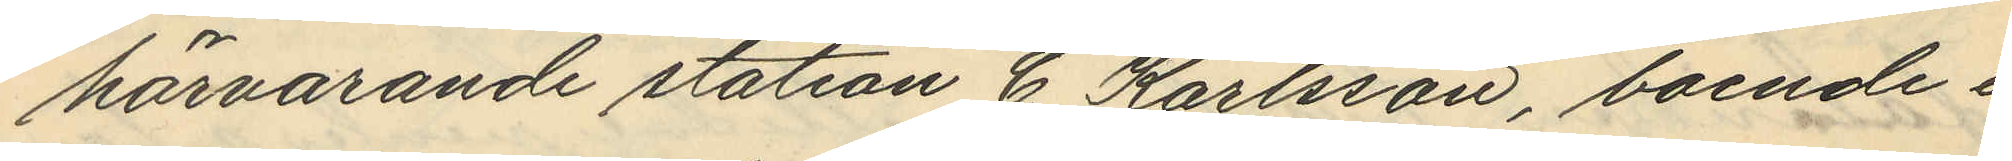härvarande station C. Karlsson, boende i
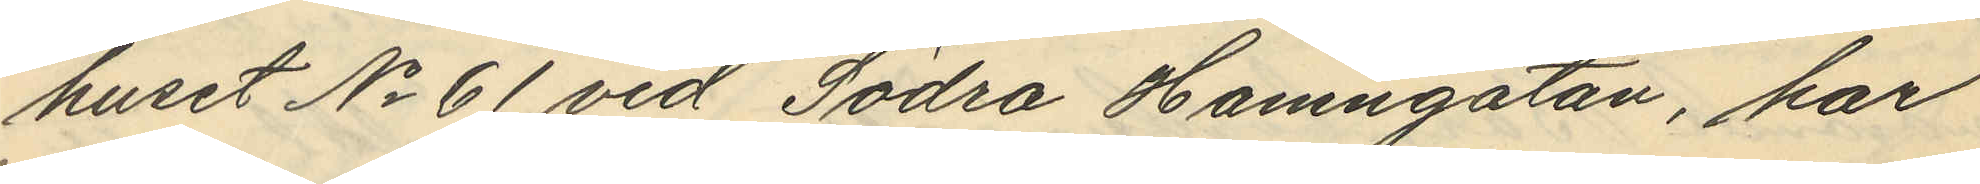huset No 61 vid Södra Hamngatan, har
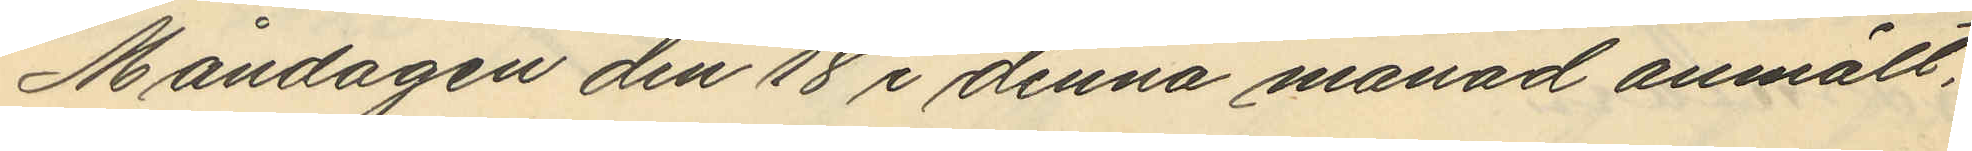Måndagen den 18 i denna månad anmält,
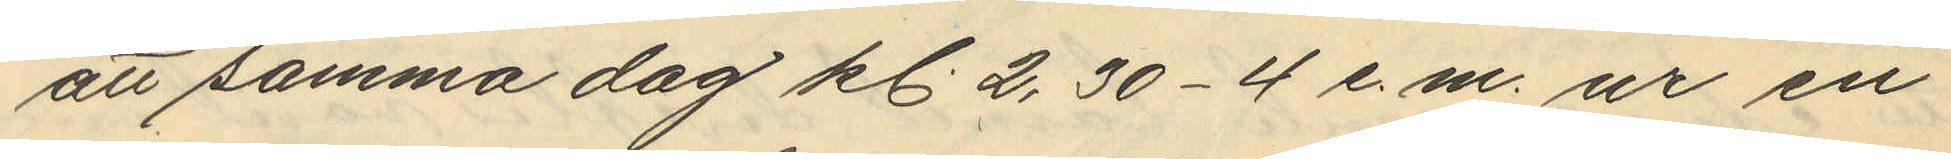att samma dag kl. 2,30-4 e.m. ur en
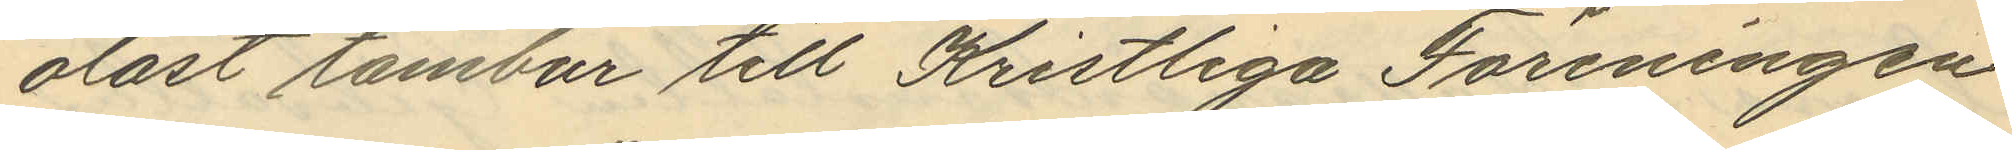olåst tambur till Kristliga Föreningen
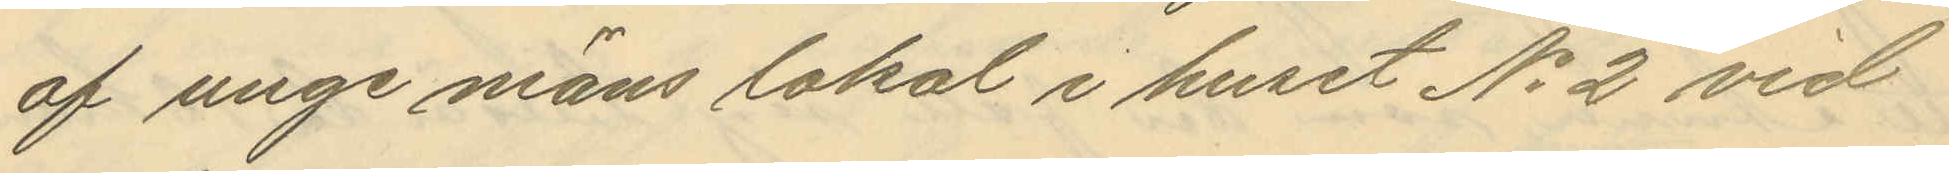af unge mäns lokal i huset No 2 vid
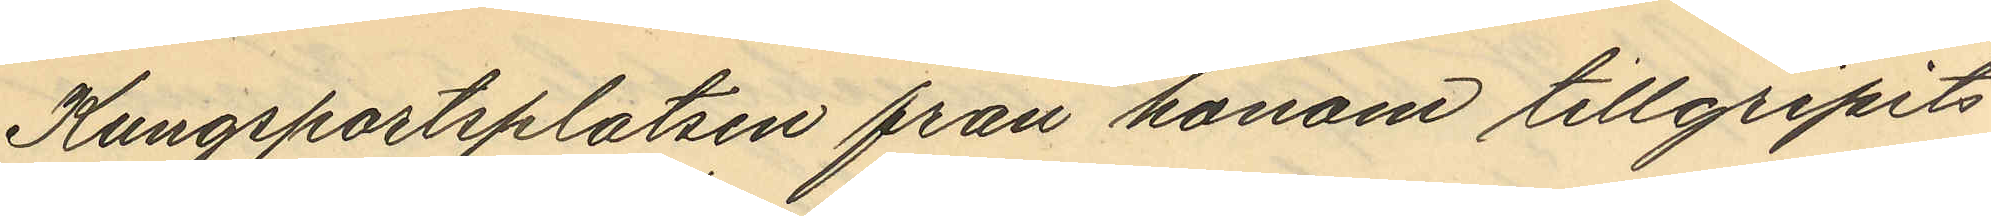Kungsportsplatsen från honom tillgripits
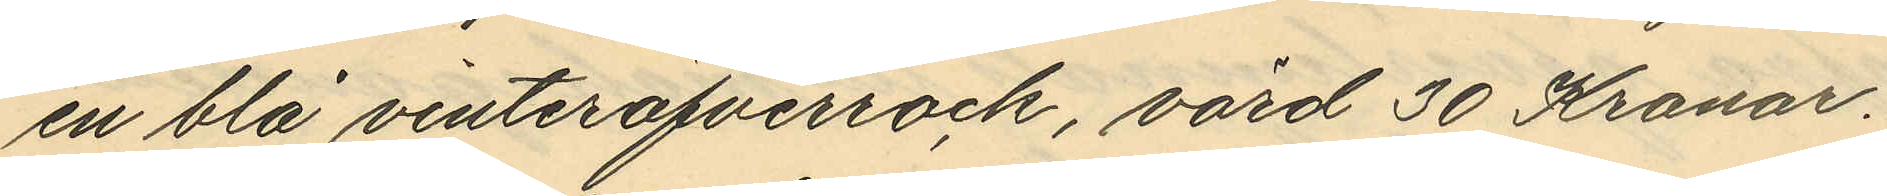en blå vinteröfverrock, värd 30 Kronor.
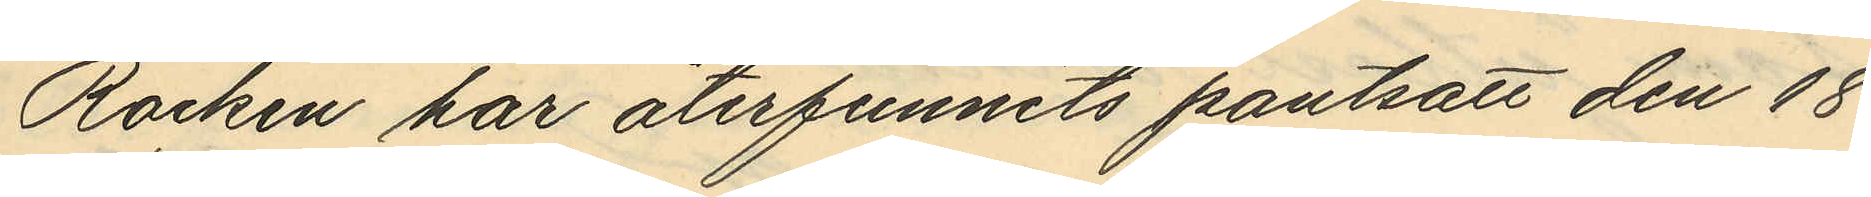Rocken har återfunnits pantsatt den 18
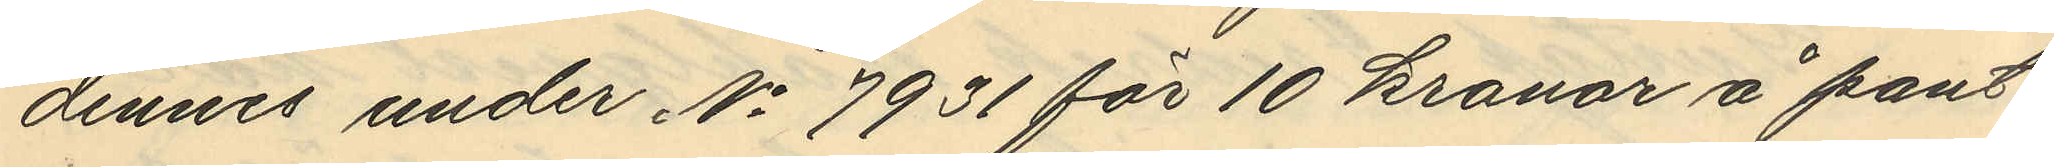dennes under No 7931 för 10 kronor å pant¬
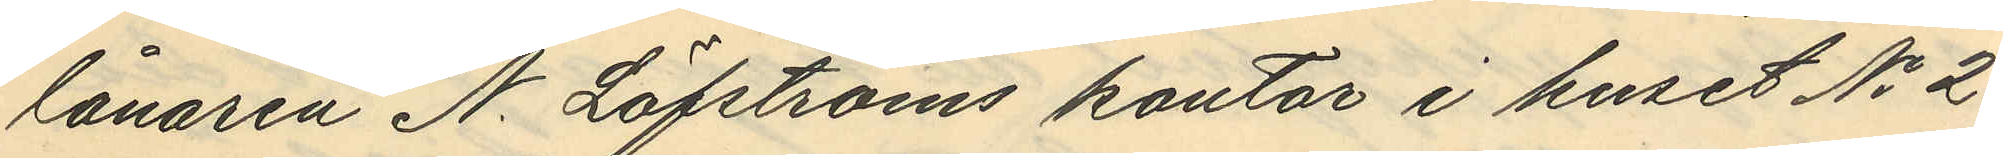lånaren N. Löfströms kontor i huset No 2
